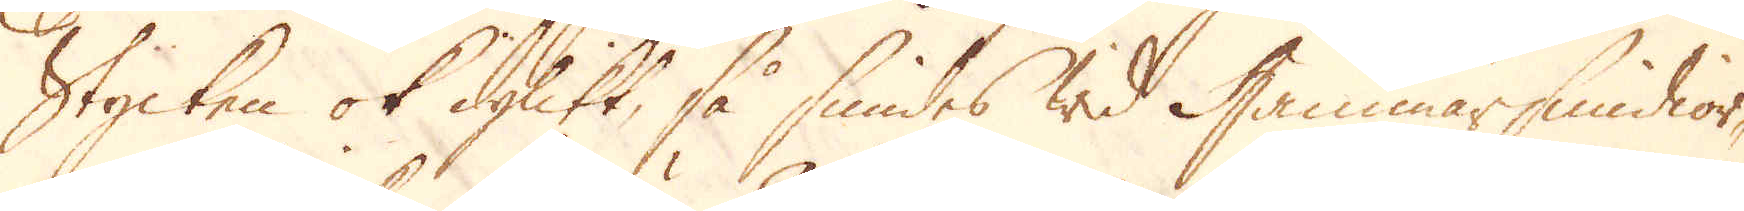Stycken ok dylikt, så smides wid Hammarsmidior-
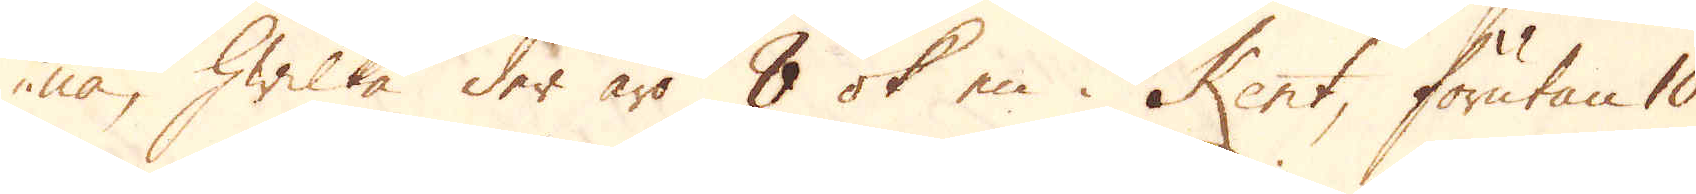na, hwilka der äro 8 ok en i Kent, förutan 10
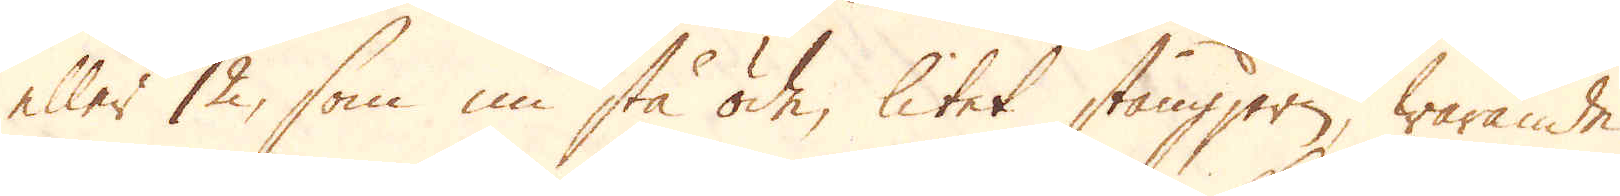eller 12, som nu stå öde, litet stångjern, warande
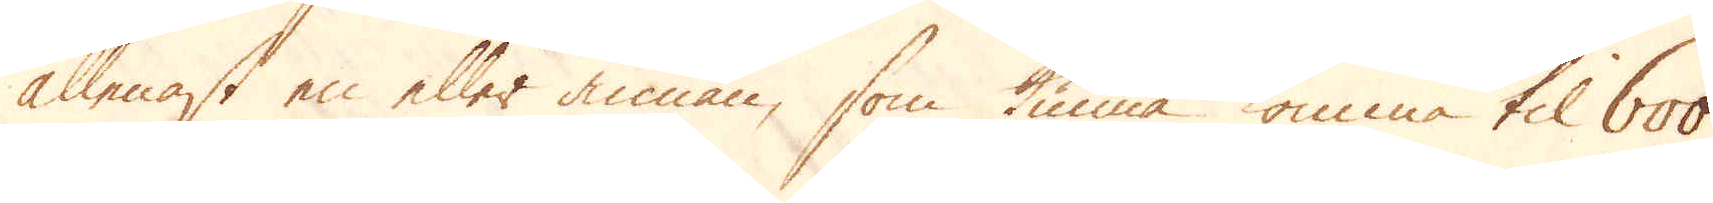allenast en eller annan, som kunna komma til 600
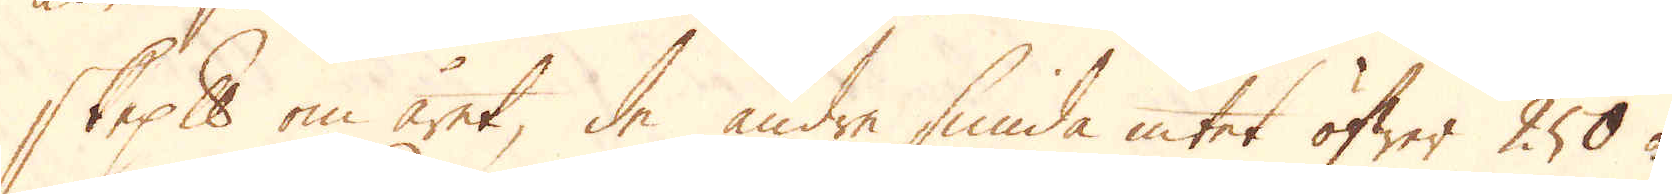skeppund om året, de andre smida intet öfwer 250 à
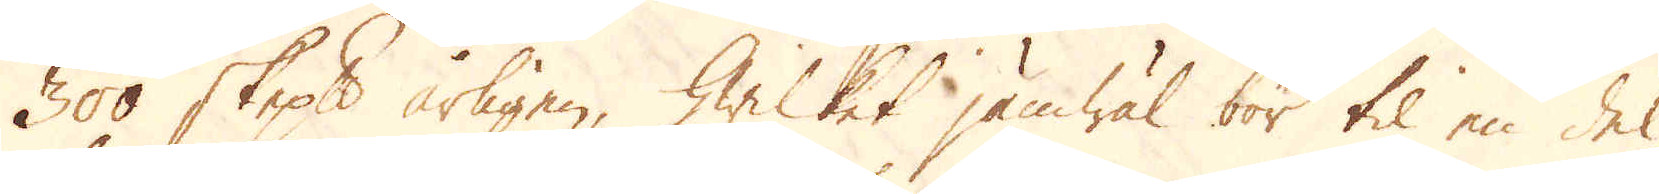300 skeppund årligen, hwilket jämwäl bör til en del
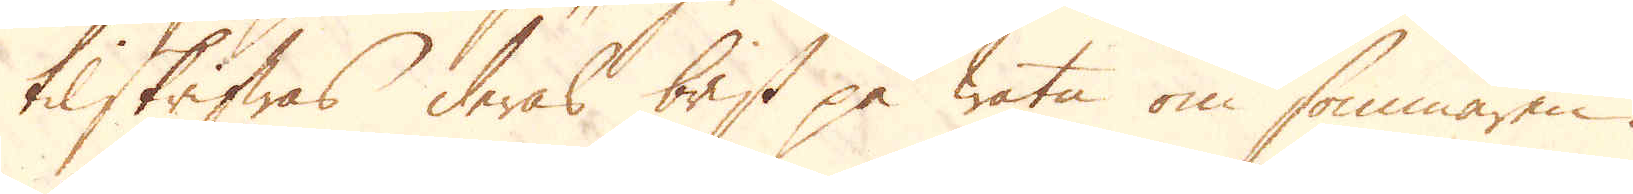tilskrifwas deras brist på watn om sommaren.
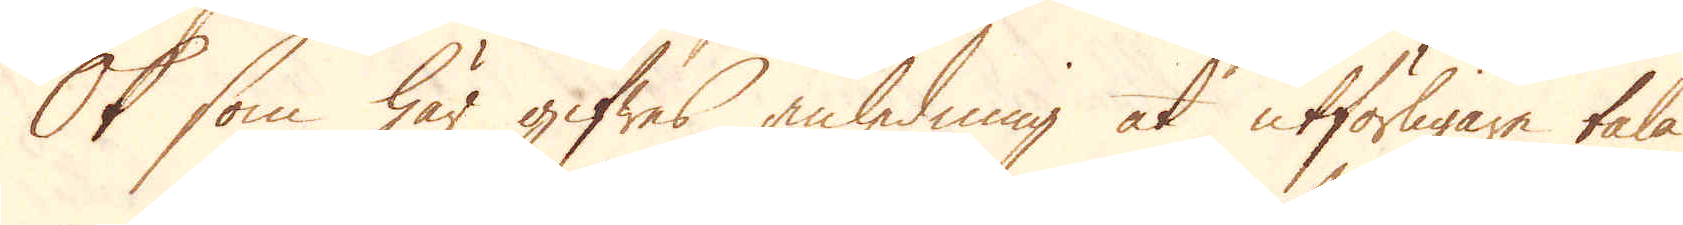Ok som här gifwes anledning at utförligare tala
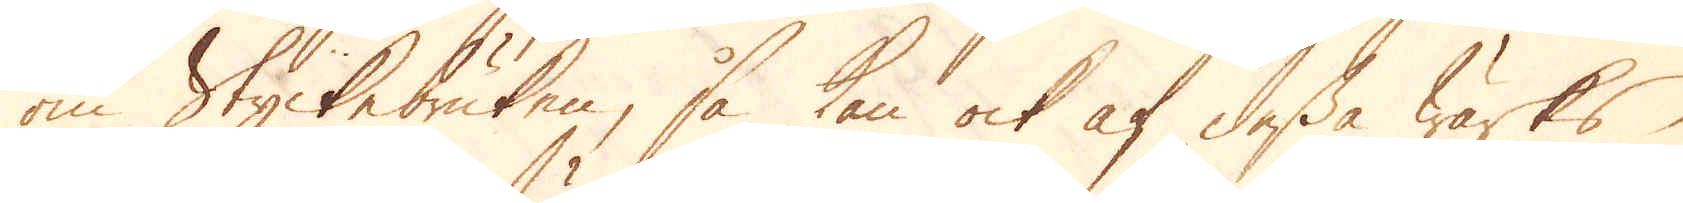om Styckebruken, så kan ock af dessa Wärks
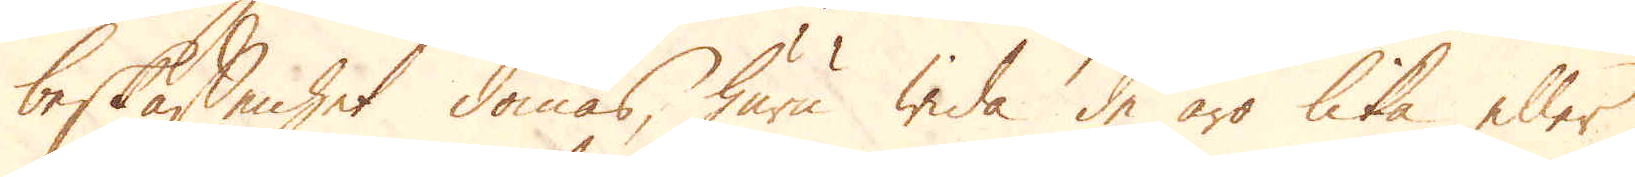beskaffenhet dömas, huru wida de äro lika eller
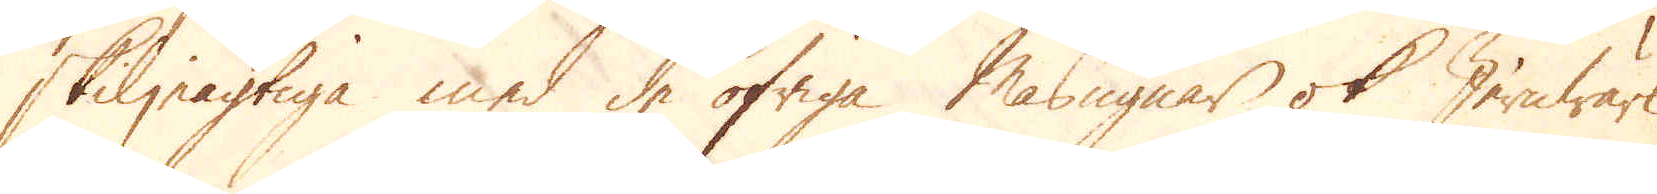skiljeagtiga med de öfriga Masugnar ok Jernwärk.
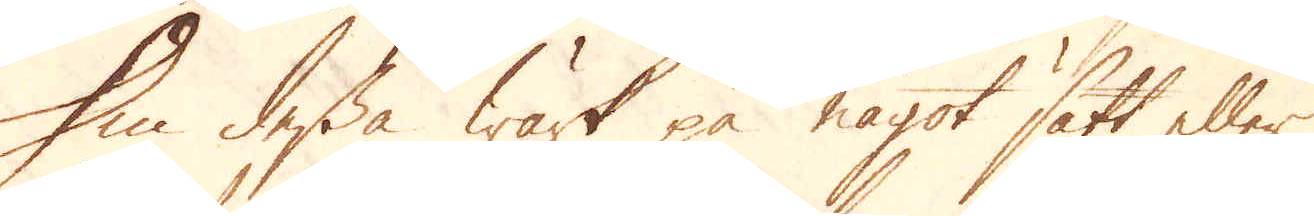Om dessa Wärk på något sätt eller
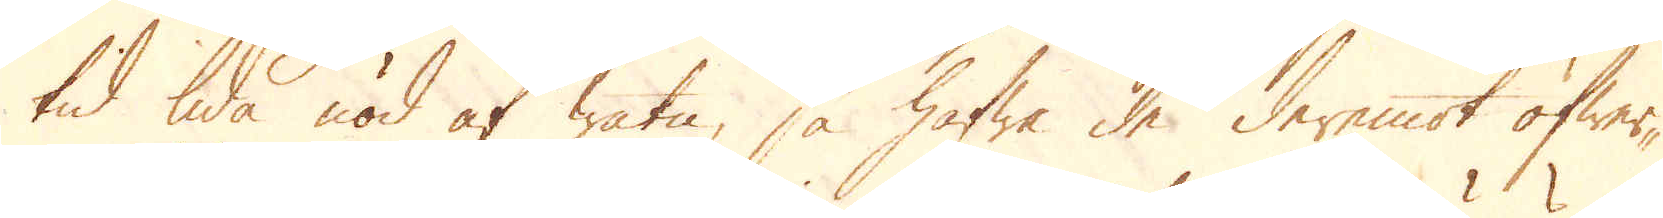tid lida nöd af watn, så hafwa de deremot öfwer-
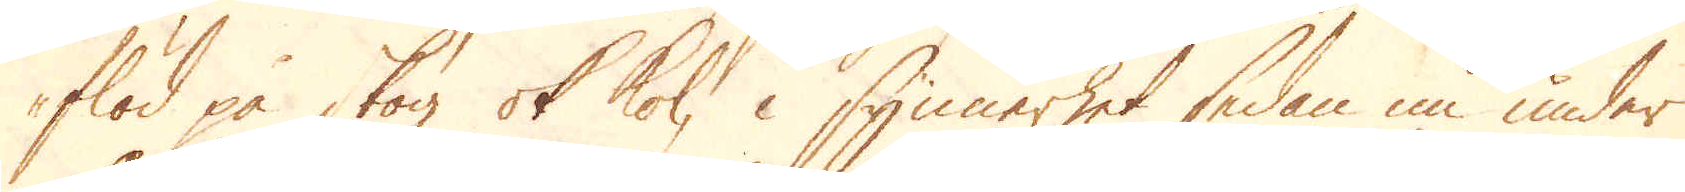flöd på skog ok kol, i synnerhet sedan nu under
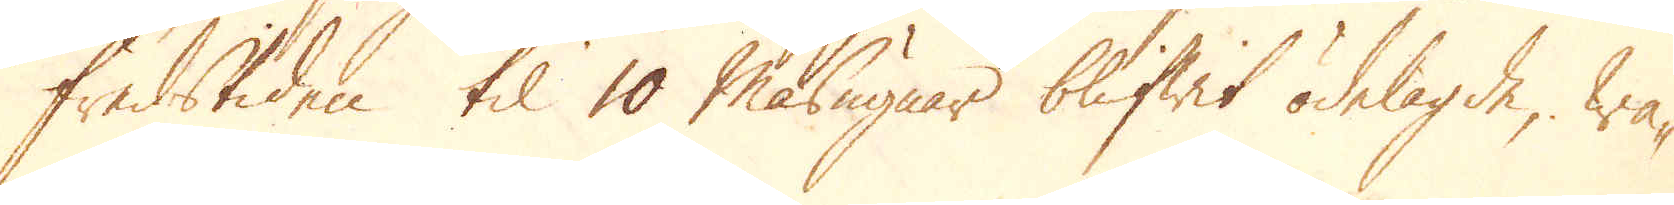Fredstiden til 10 Masugnar blifwit ödelagde, wa-
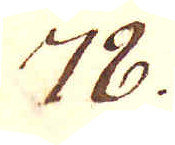78.
